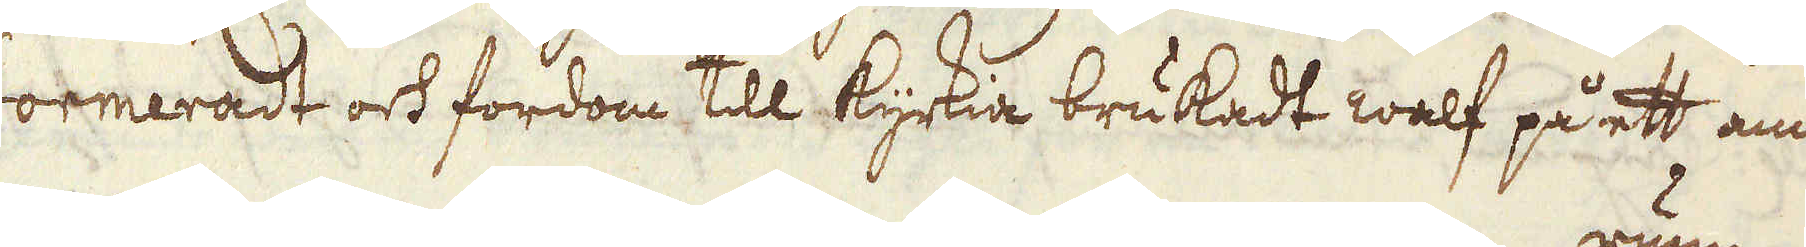formeradt ock fordom till kyrkia brukadt walf på ett annat
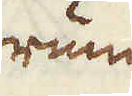rum
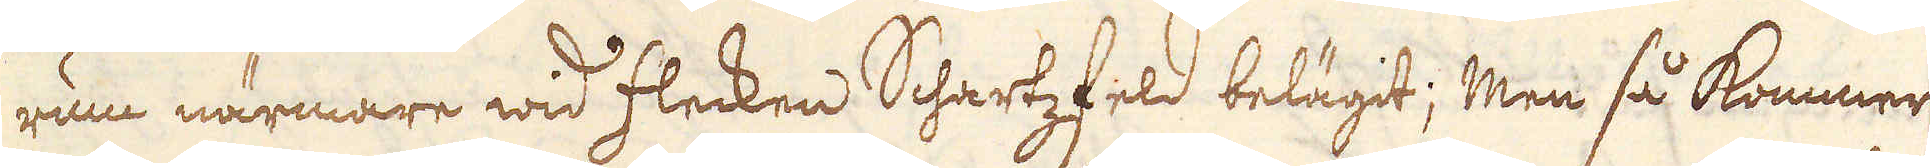rum närmare wid flecken Schartzfeld belägit; Men så kommer
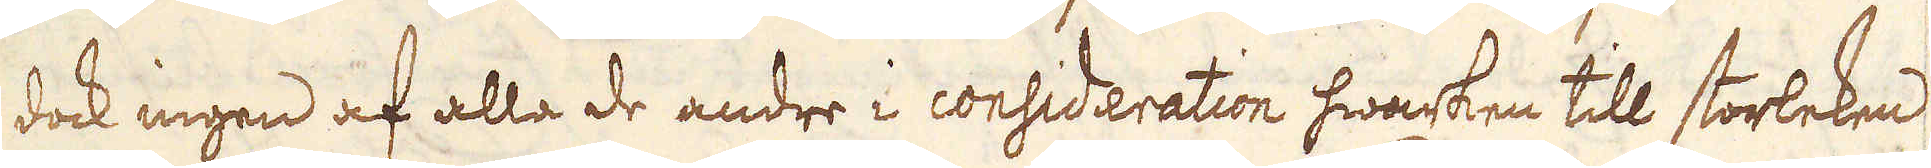dock ingen af alla de andre i consideration hwarken till storleken
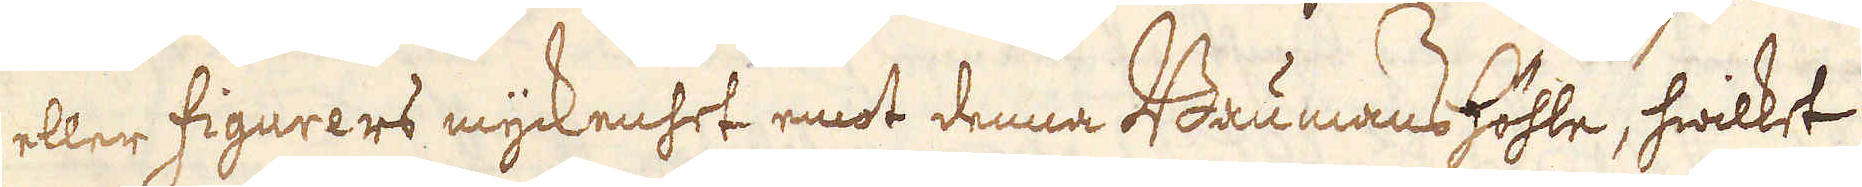eller figurers myckenhet emot denna Baumanshöhle, hwilket
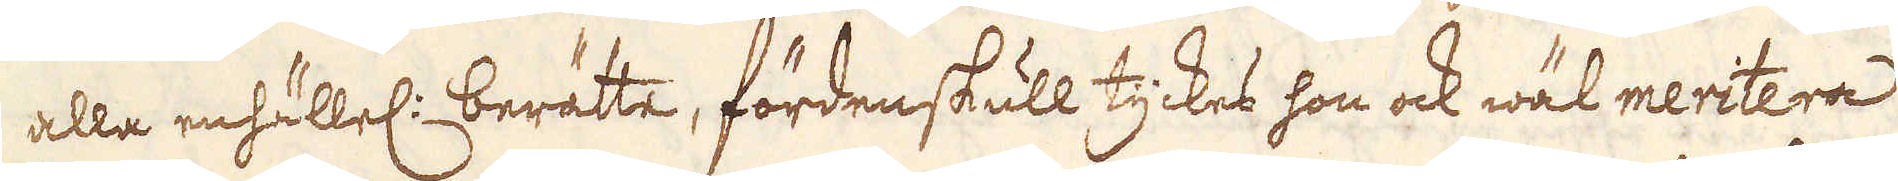alla enhällel: berätte, fördenskull tyckes hon ock wäl meritera
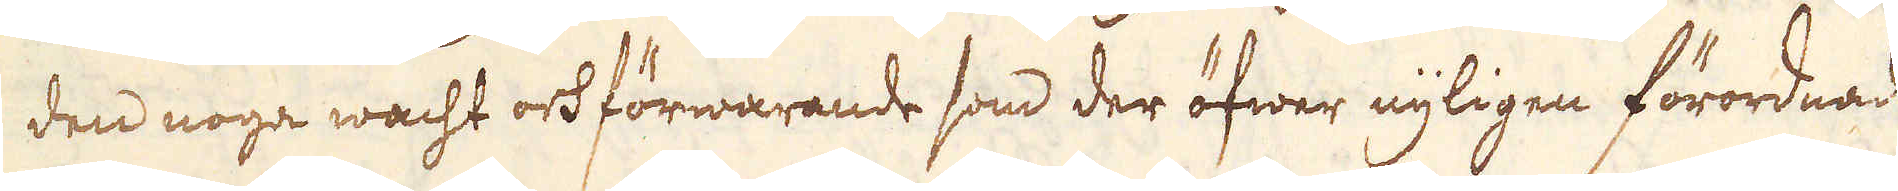den noga wacht och förwarande som der öfwer nyligen förordnad
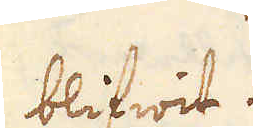blifwit.
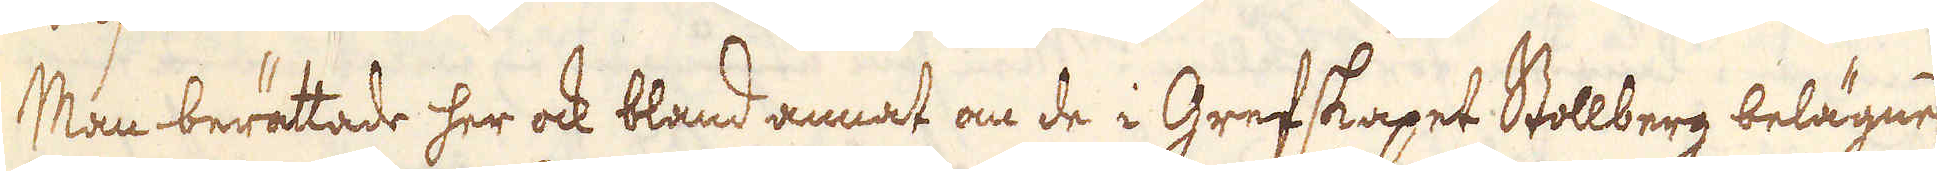Man berättade her ock bland annat om de i Grefskapet Stollberg belägne
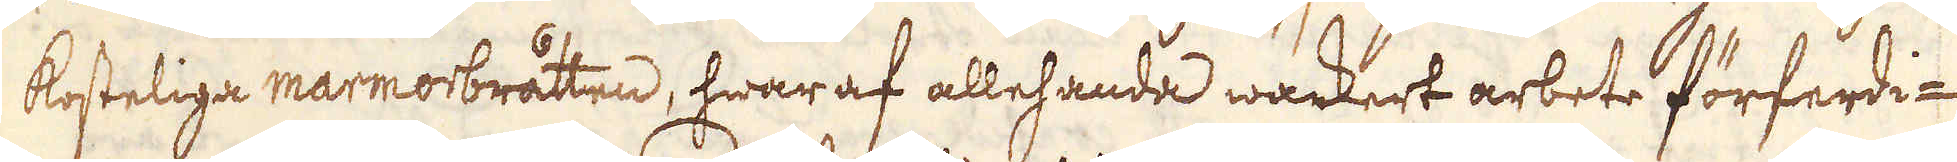kosteliga marmorbråtten, hwar af allehanda wackert arbete förferdi-
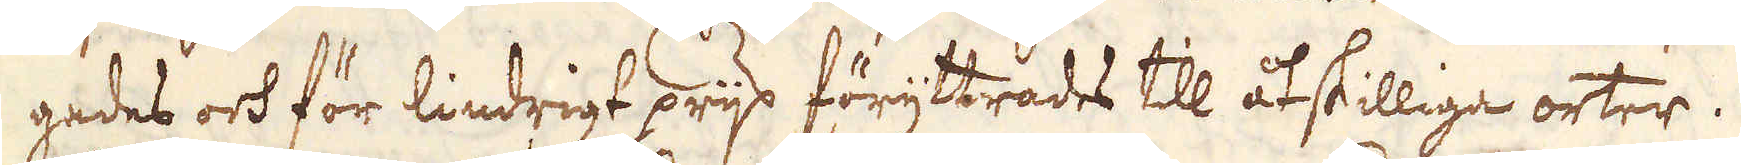gades och för lindrigt prijs föryttrades till åtskilliga orter.
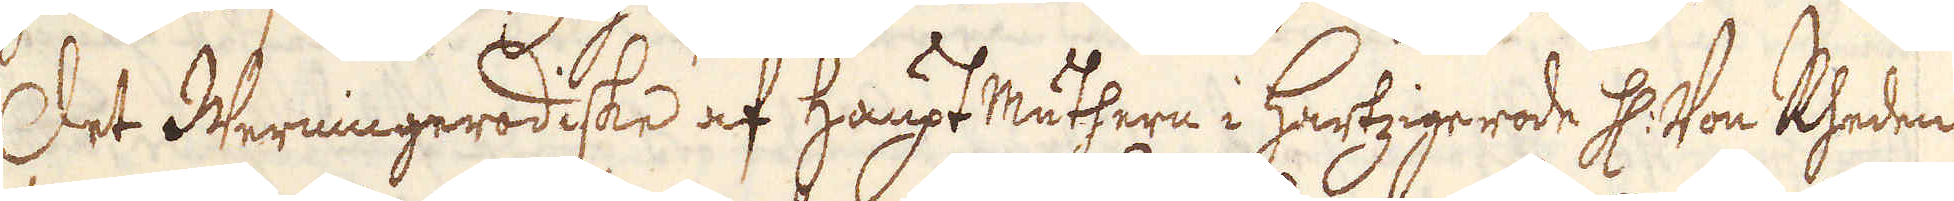Det Werningerodiske af Haupt mäthern i Hartzige rode H: von Rheden
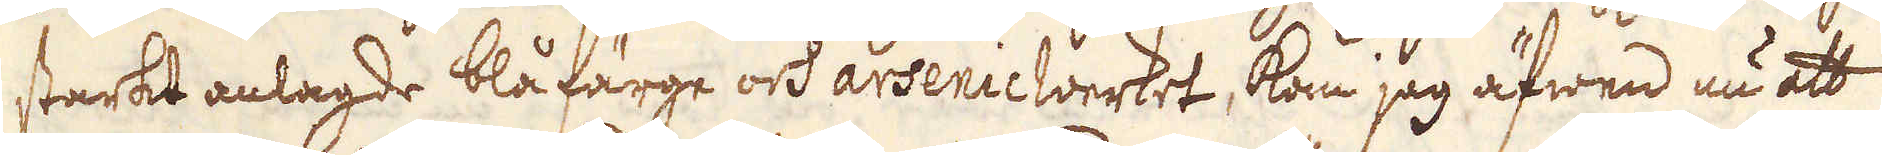starkt anlagde blåfärge och arsenicwerket, kom jag äfwen nu att
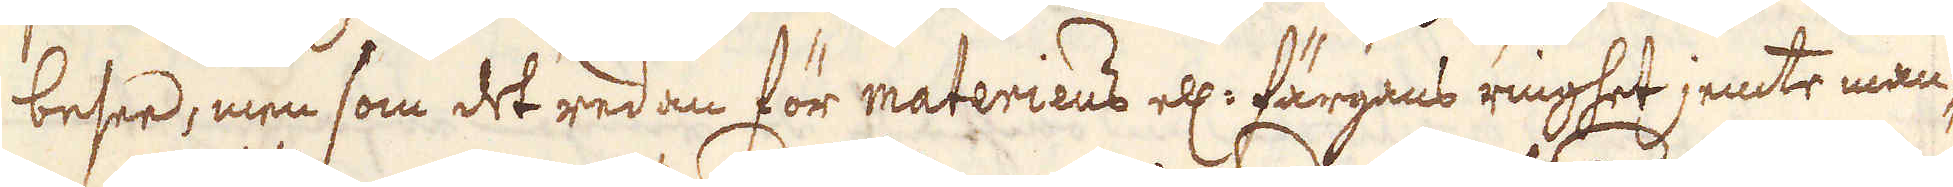besee, men som det redan för materiens ell: färgans ringhet jemte man-
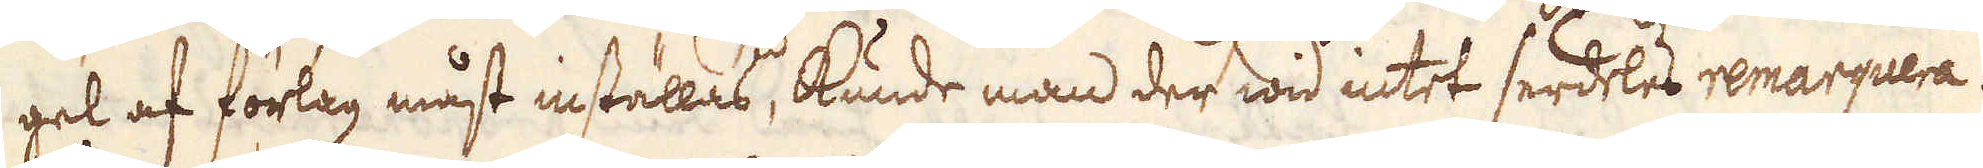gel af förlag måst inställas, kunde man der wid intet serdeles remarquera.
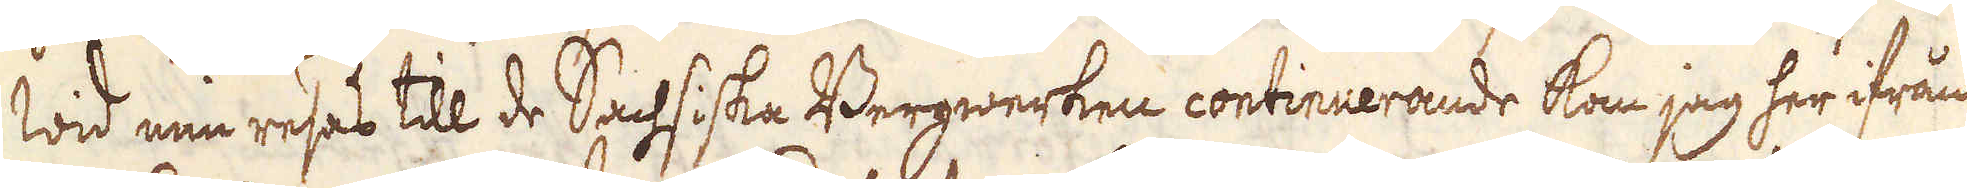Wid min resas till de Sachsiska Bergwerken continuerande kom jag her ifrån
